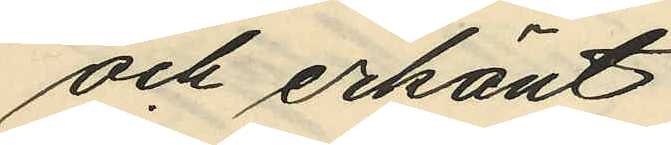och erkänt
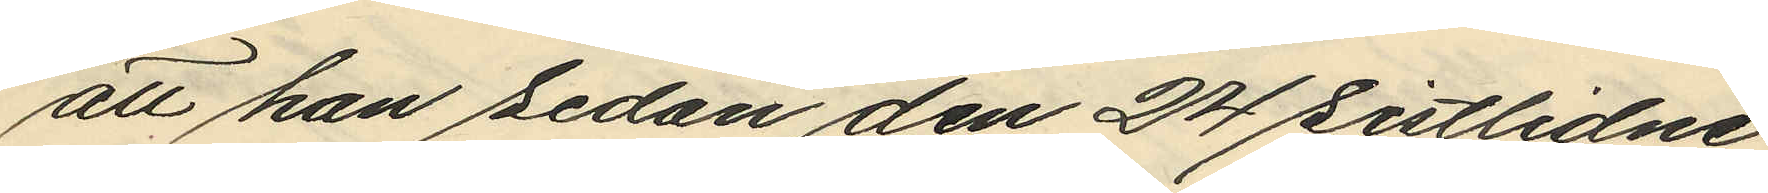att han sedan den 24 sistlidne
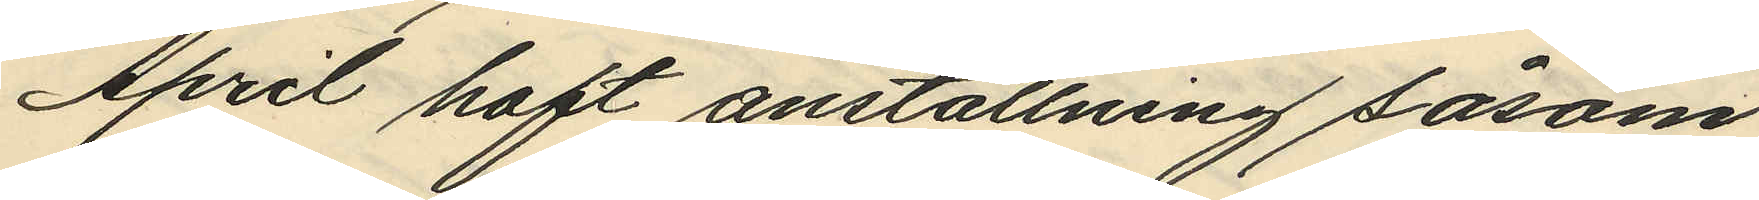April haft anställning såsom
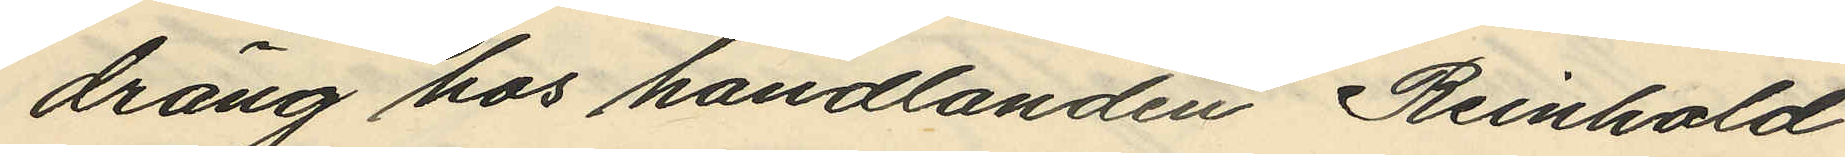dräng hos handlanden Reinhold
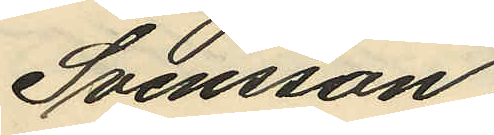Svensson,
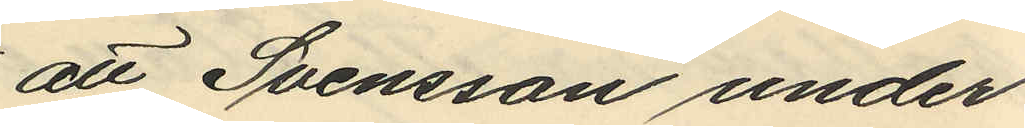att Svensson under
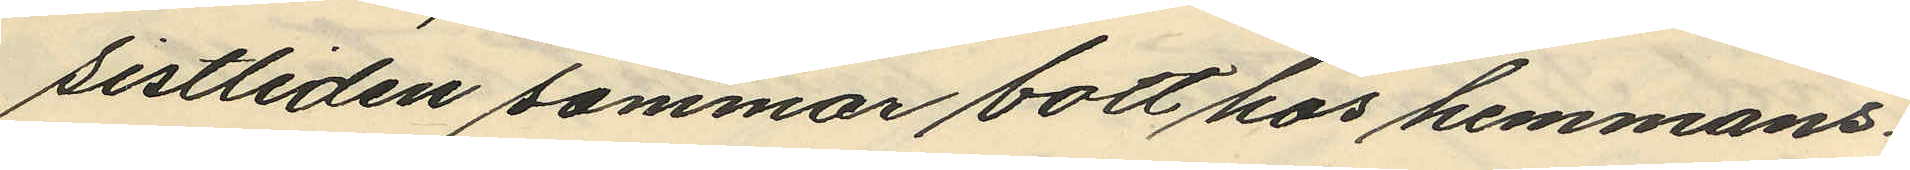sistliden sommar bott hos hemmans¬
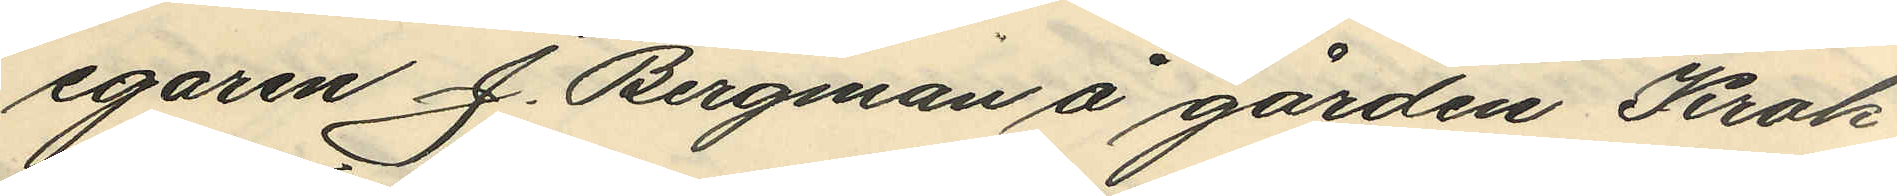egaren J. Bergman å gården Krok¬
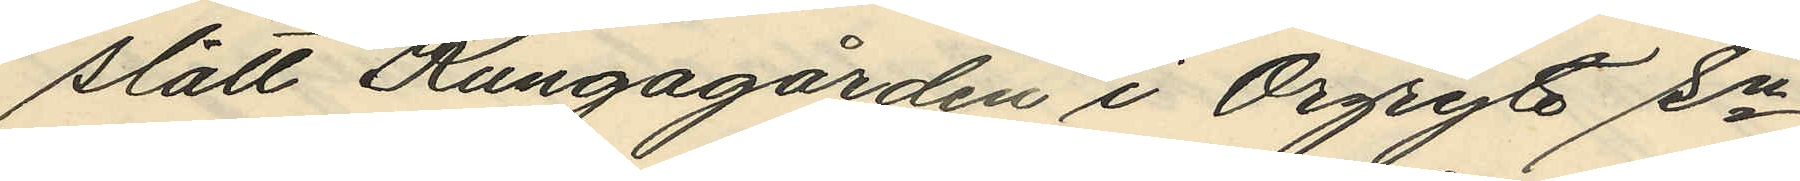slätt Kungagården i Örgryte sn
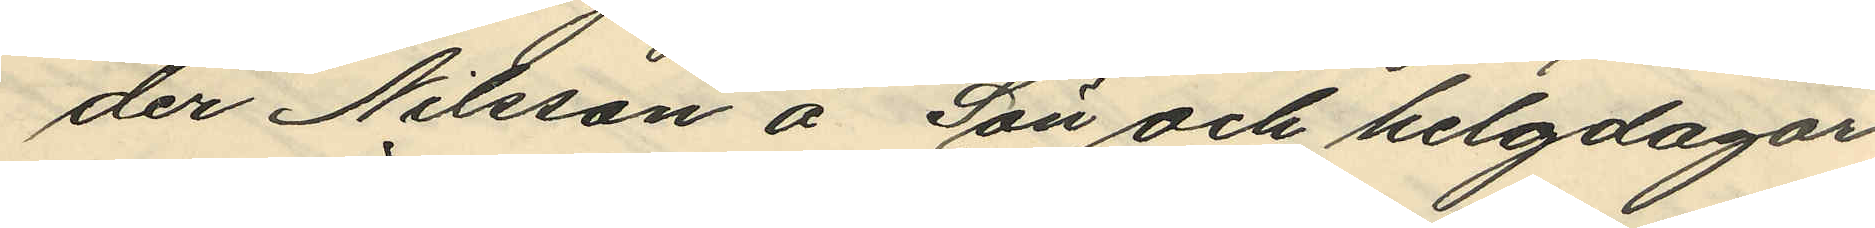der Nilsson å Sön och helgdagar
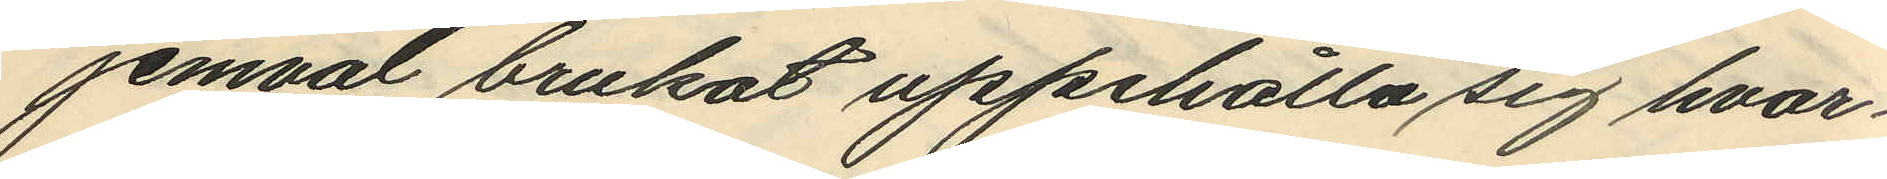jemväl brukat uppehålla sig hvar¬
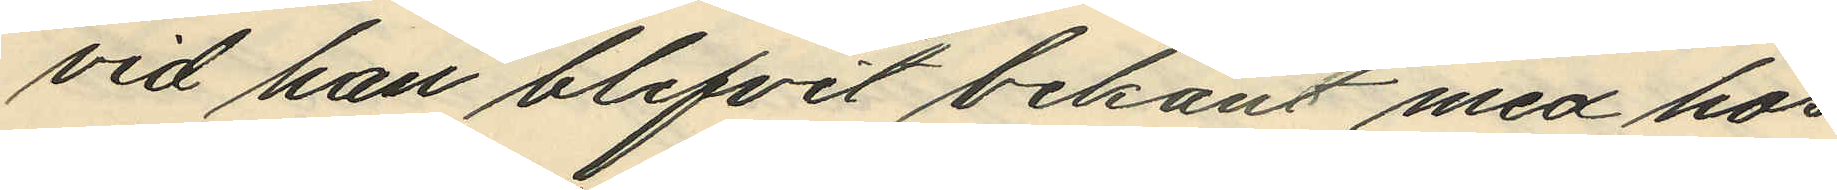vid han blifvit bekant med hos
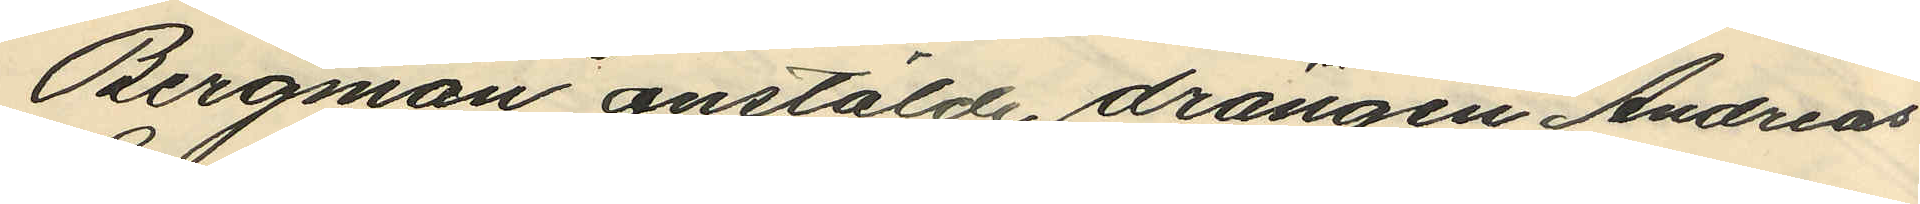Bergman anstälde drängen Andreas
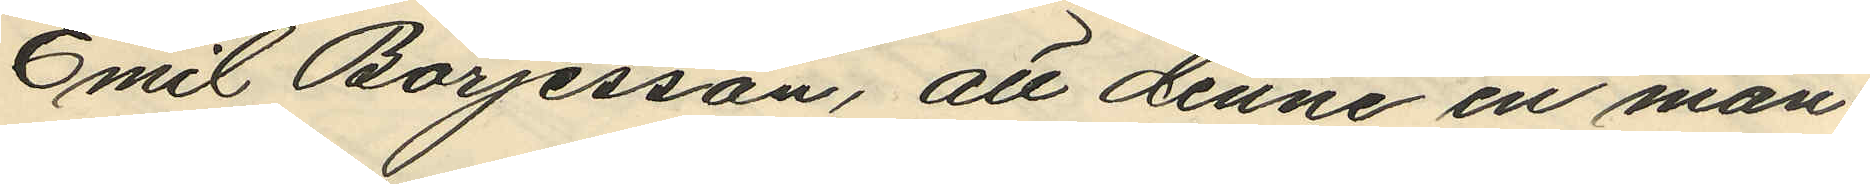Emil Börjesson, att denne en mån¬
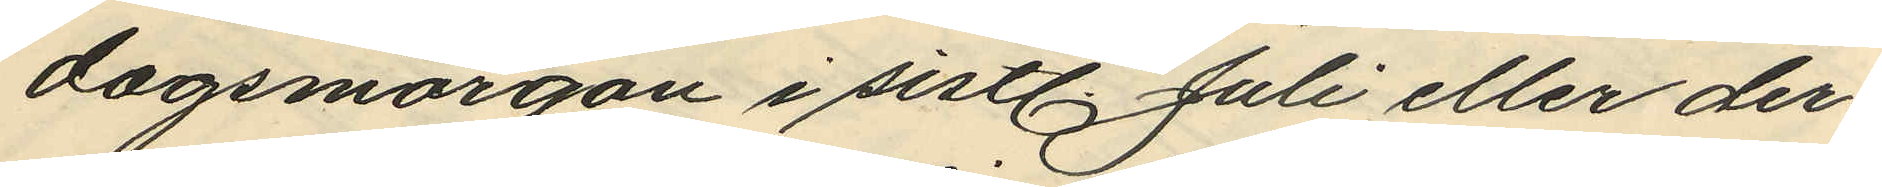dagsmorgon i sistl. Juli eller der¬
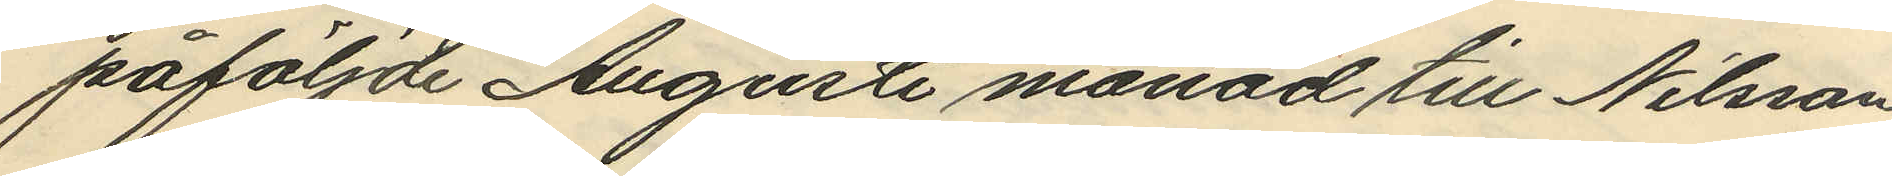påföljde Augusti månad till Nilsson
